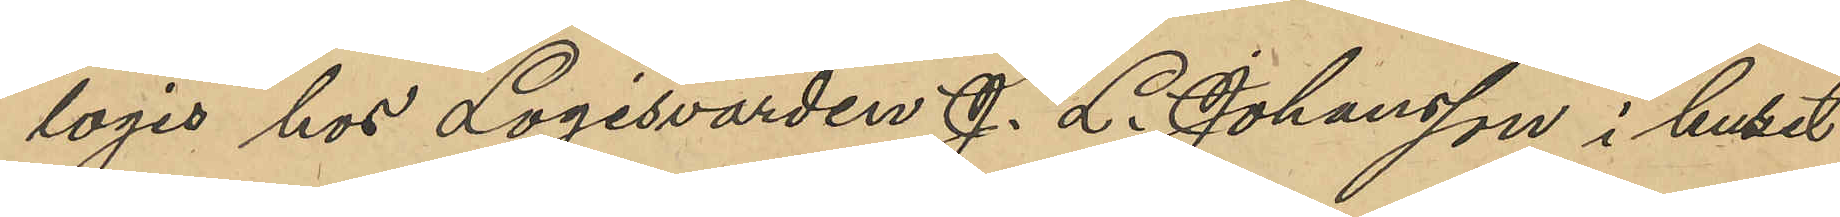logis hos Logisvärden J. L. Johansson i huset
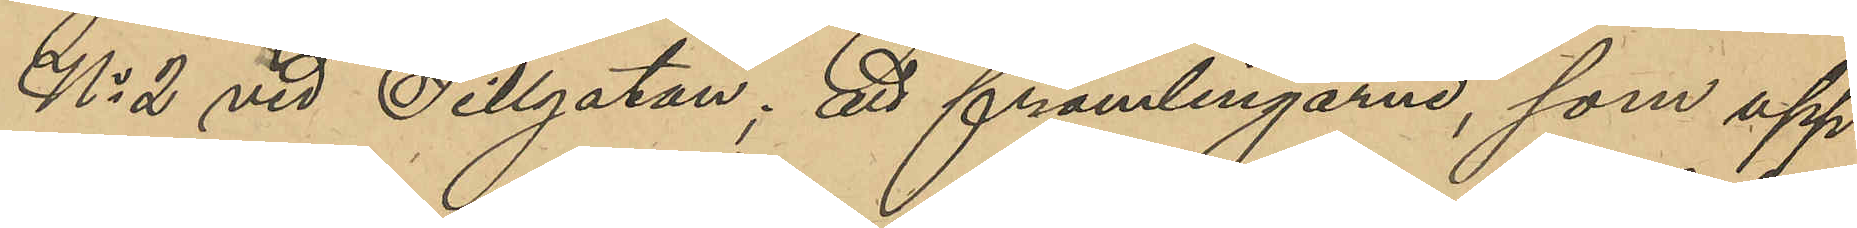No 2 vid Sillgatan; att främlingarne, som upp¬
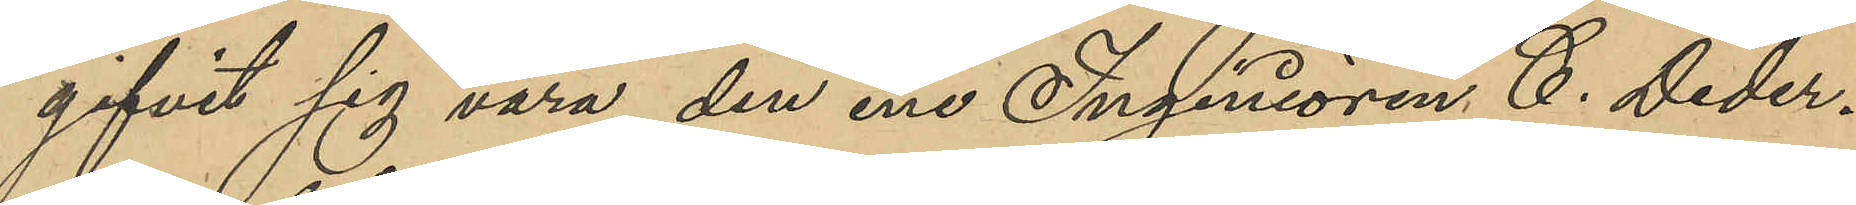gifvit sig vara, den ene Ingeniören C. Deder¬
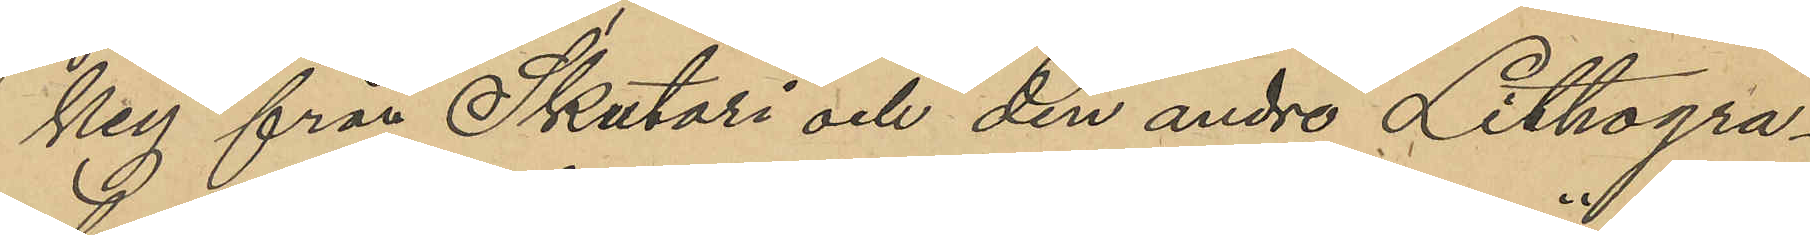key från Skutari och den andre Lithogra¬
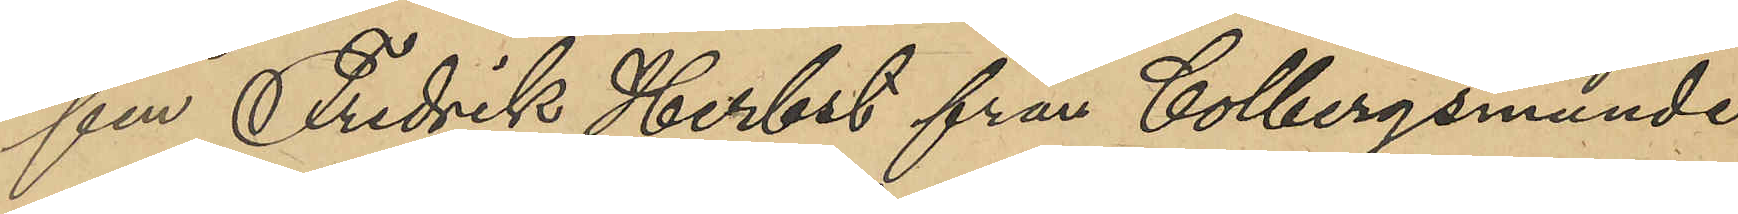fen Fredrik Herbst från Colbergsmünde
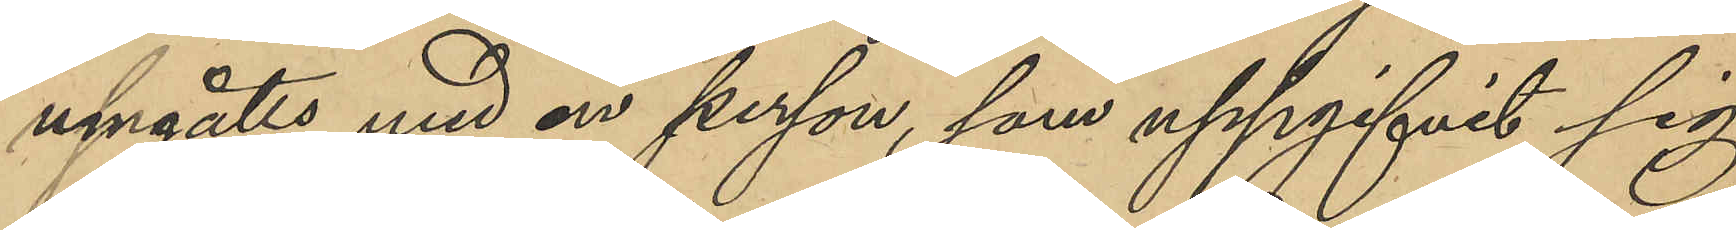umgåtts med en person, som uppgifvit sig
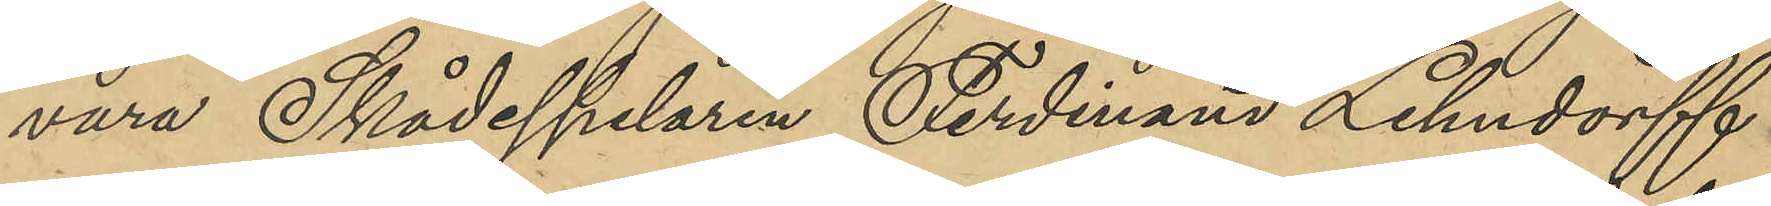vara Skådespelaren Ferdinand Lehndorff
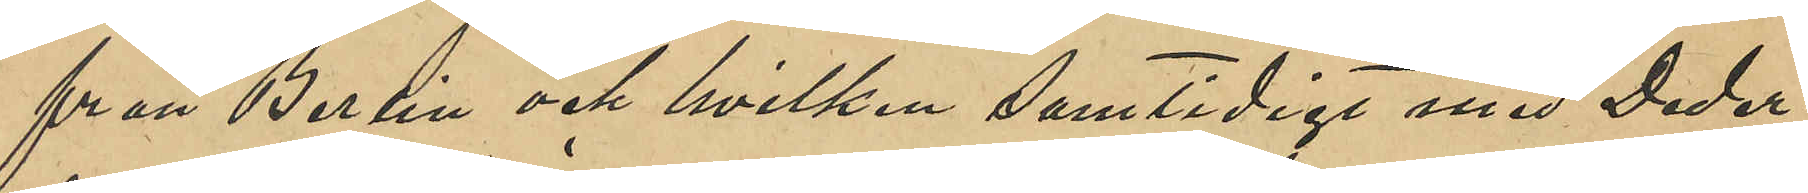från Berlin och hvilken samtidigt med Deder¬
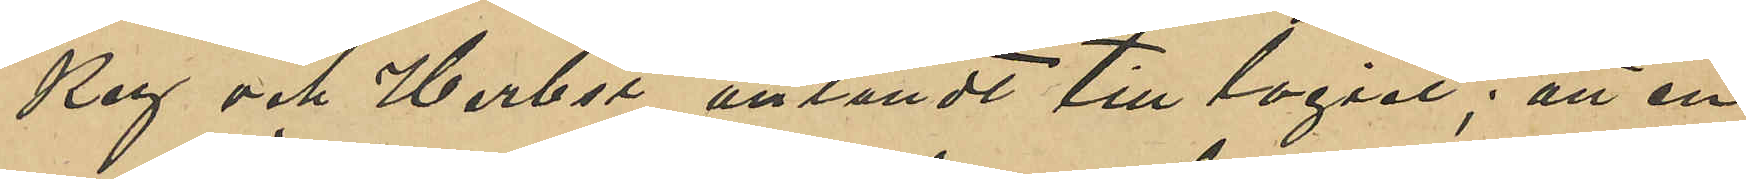key och Herbst anländt till logiet; att en 
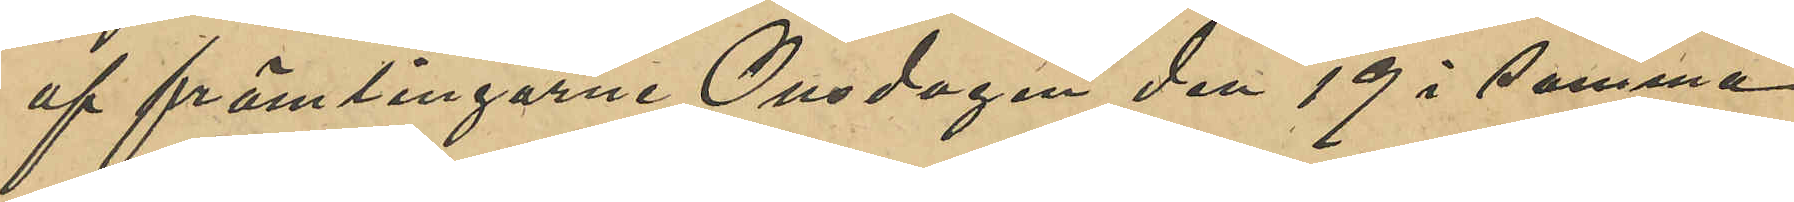af främlingarne Onsdagen den 19 i samma
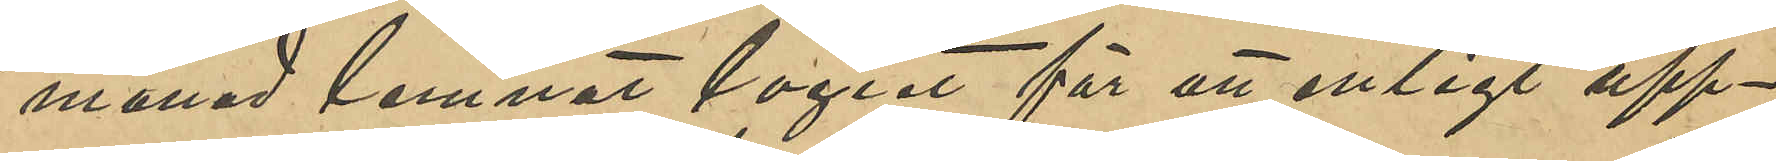månad lemnat logiet för att enligt upp¬
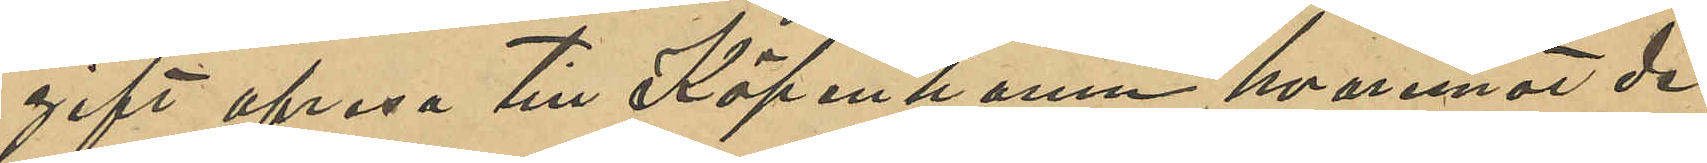gift afresa till Köpenhamn, hvaremot de
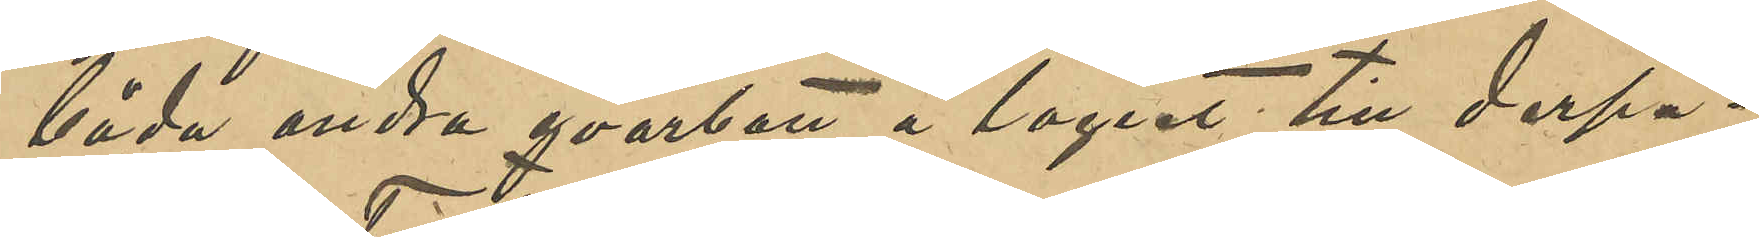båda andra qvarbott å logiet till derpå¬
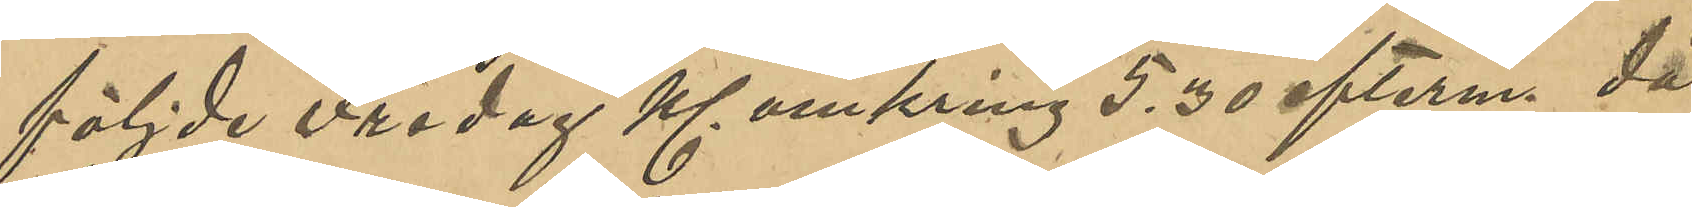följde Fredag Kl omkring 5,30 efterm. då
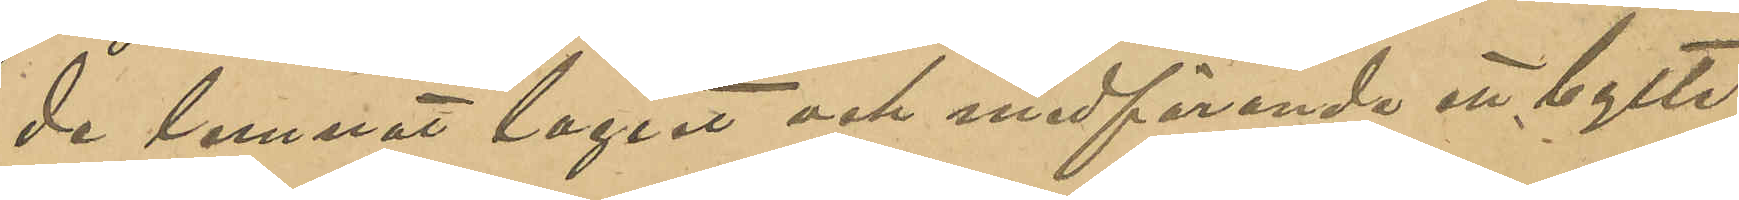de lemnat logiet och medförande ett bylte
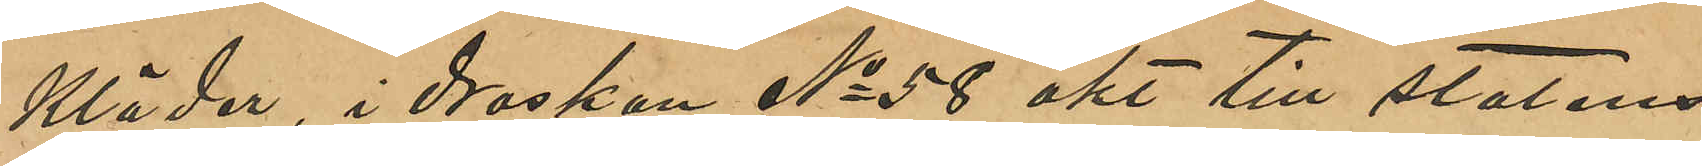kläder, i droskan No 58 åkt till statens
